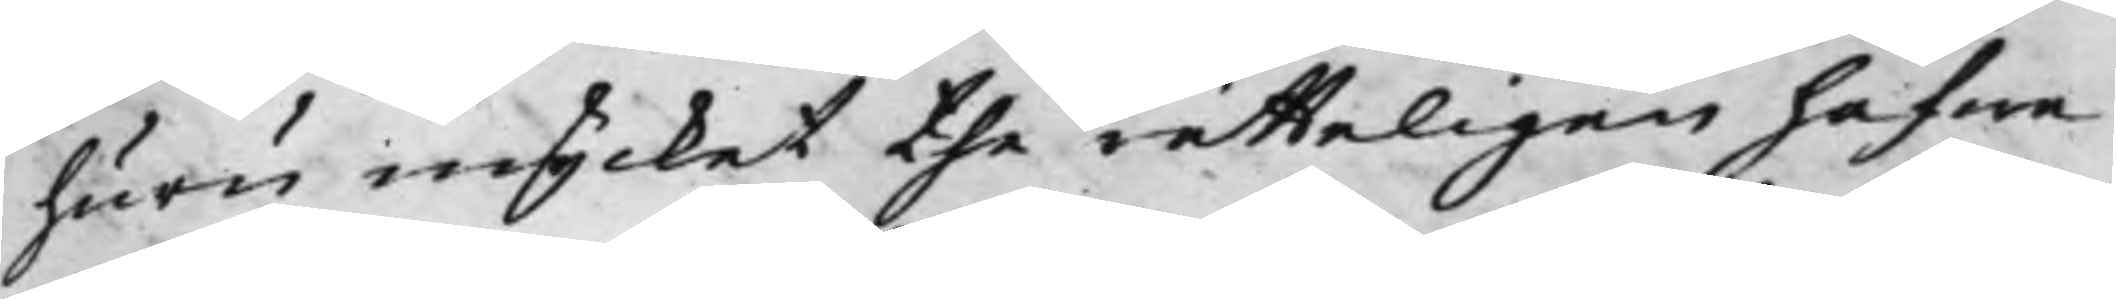huru mycket the rätteligen hafwa
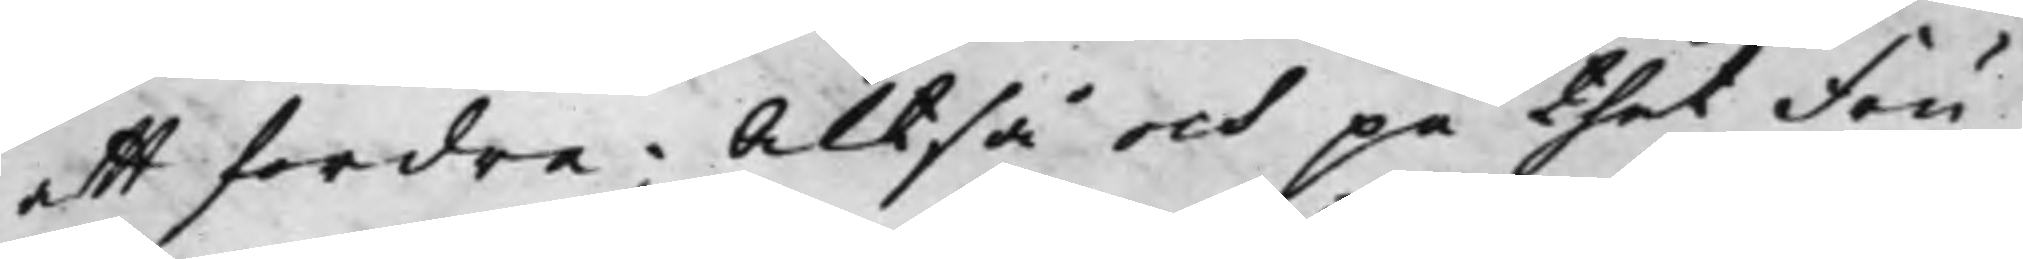att fordra; Altså och på thet Fru
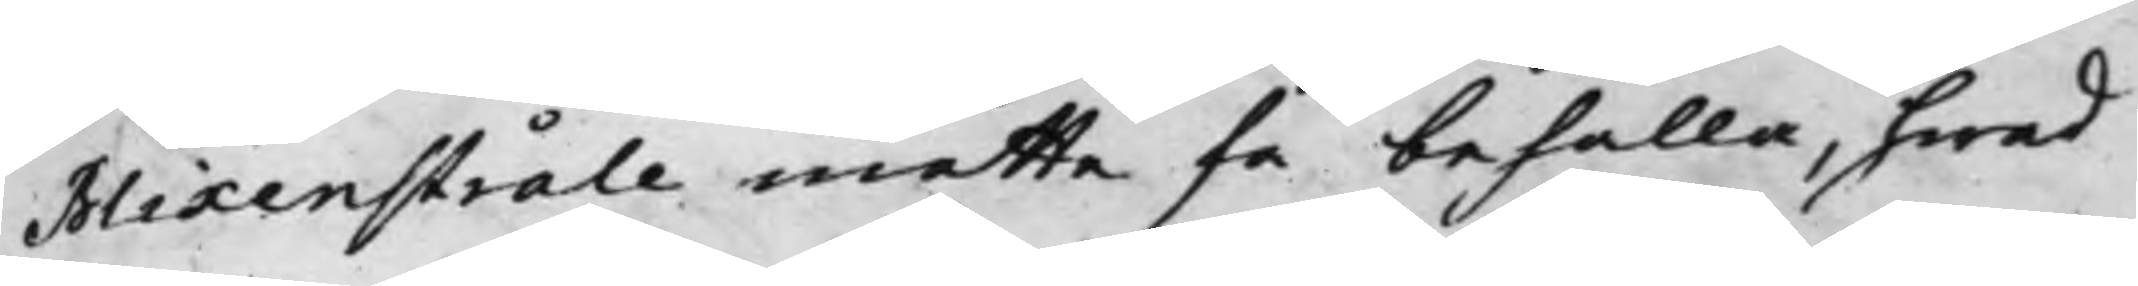Blixenstråle måtte få behålla, hwad
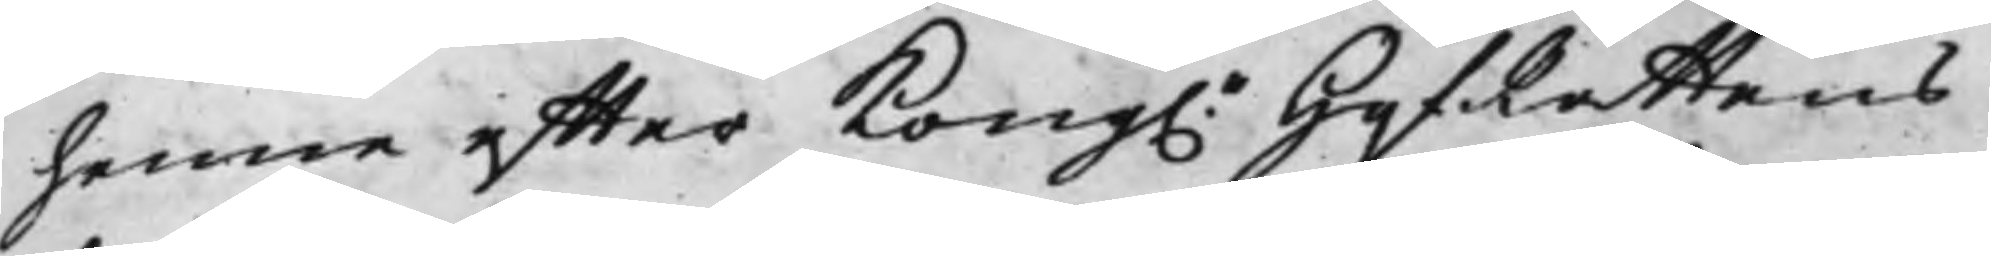henne effter Kong. HofRättens
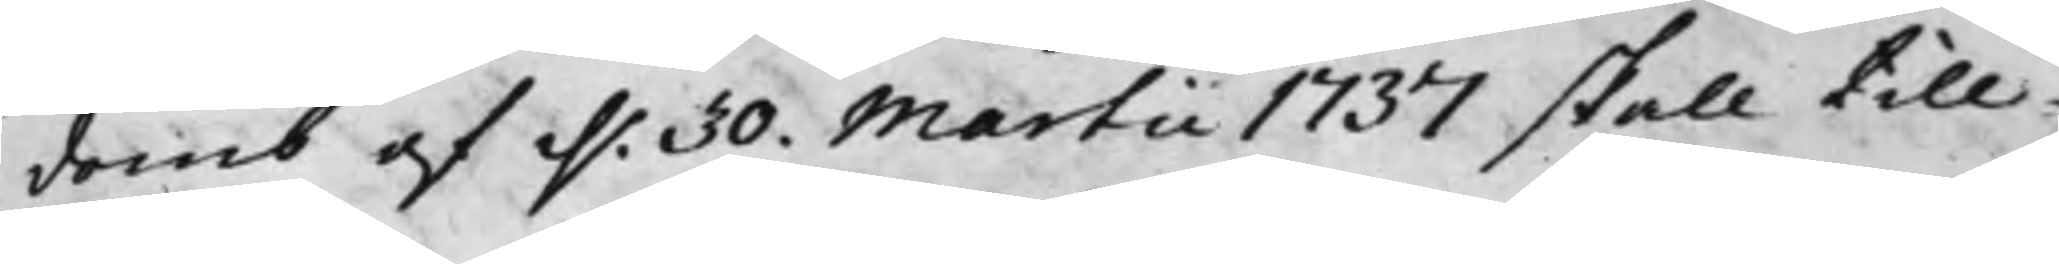domb af d. 30. Martii 1737 skall till¬
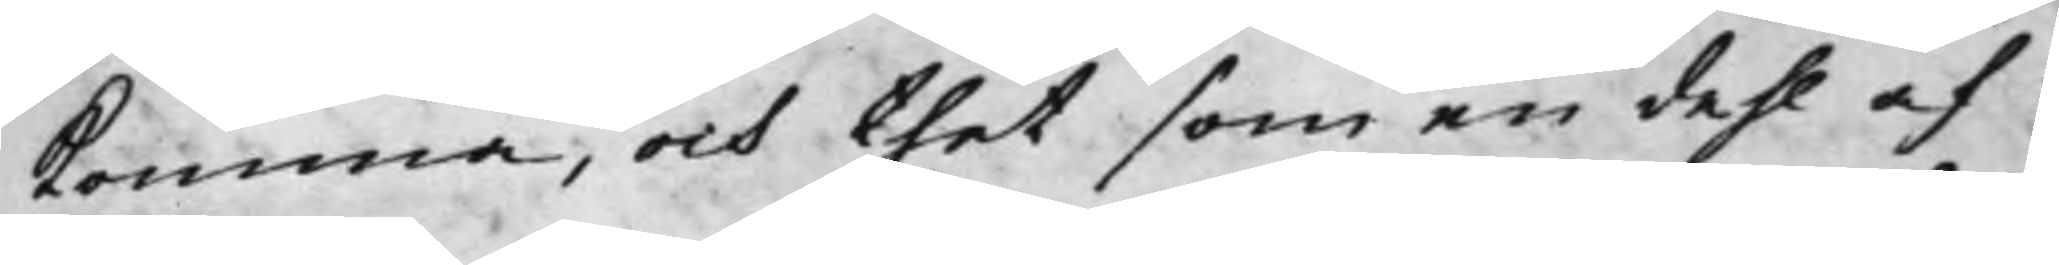komma, och thet som en dehl af
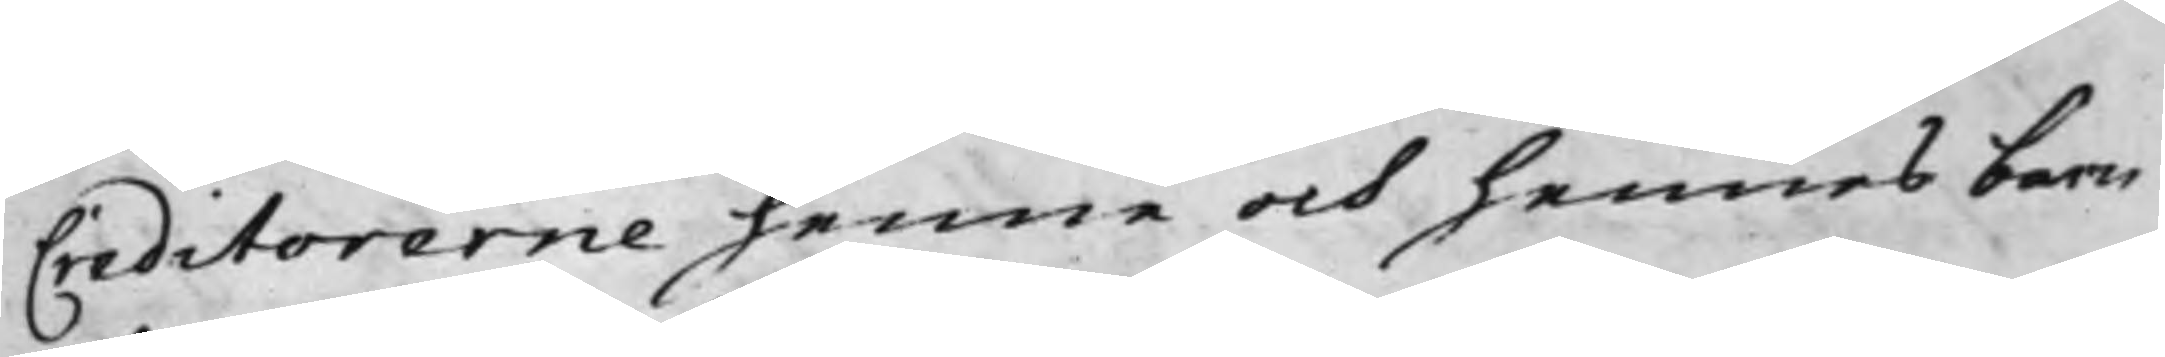Creditorerne henne och hennes barn
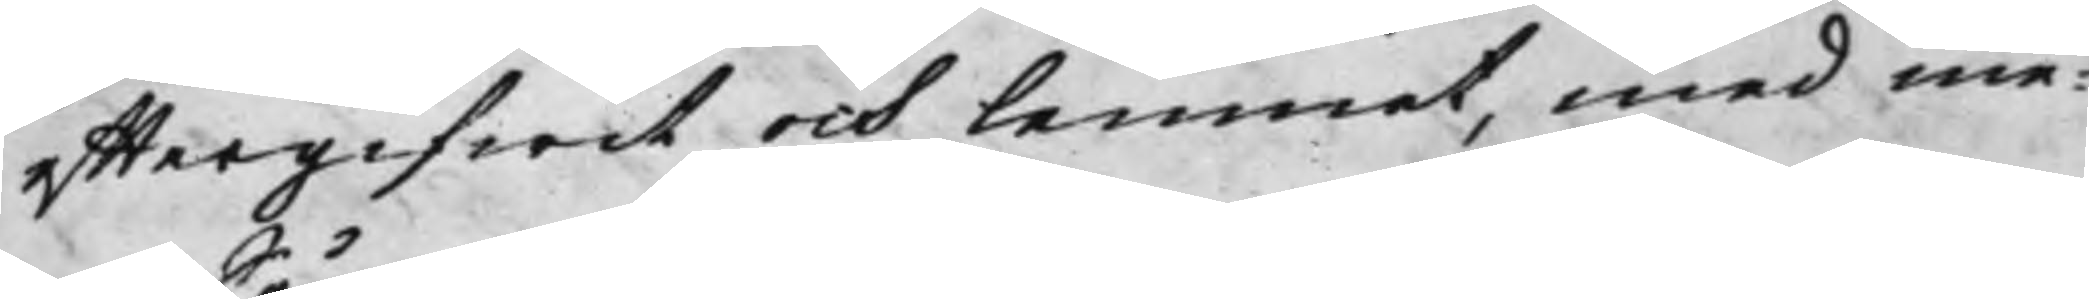efftergifwit och lemnat, med me¬
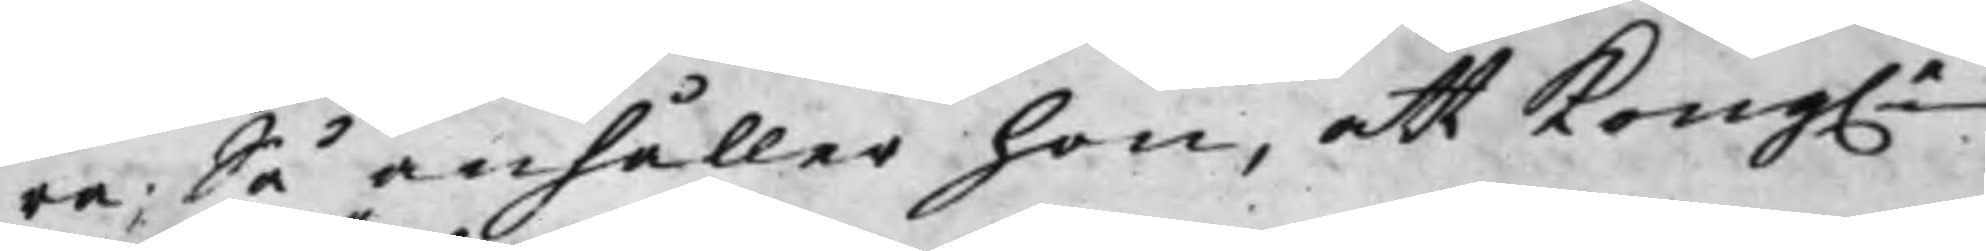ra; Så anhåller hon, att Kong.e 
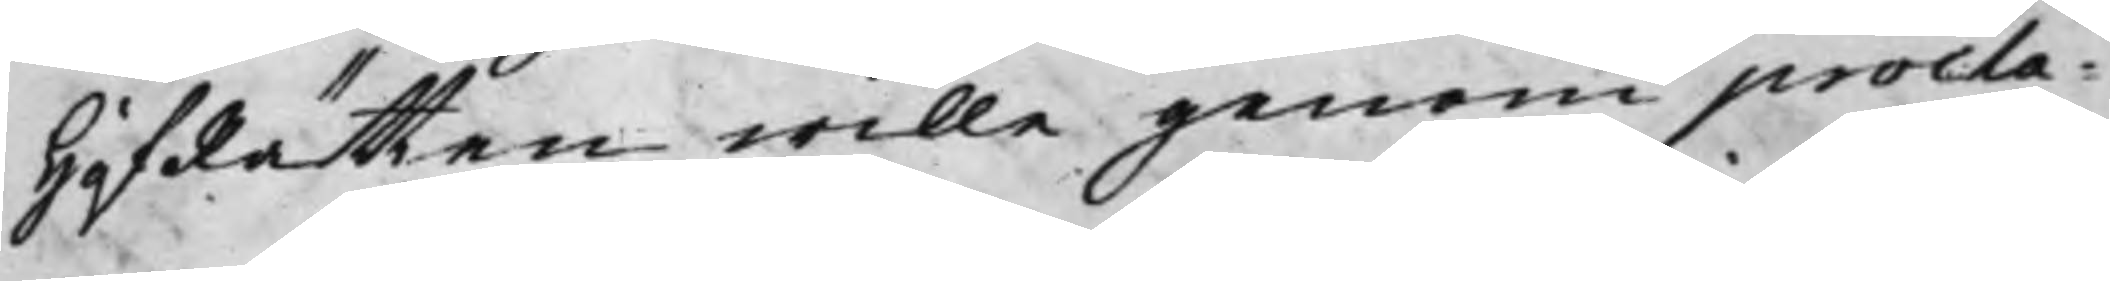HofRätten wille genom procla¬
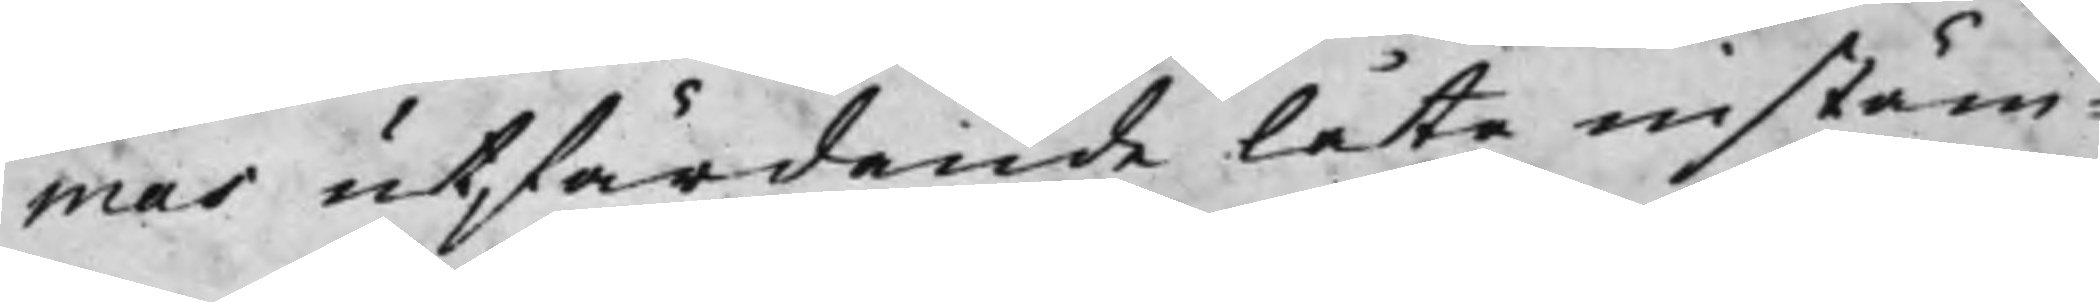mas utfärdande låta instäm¬
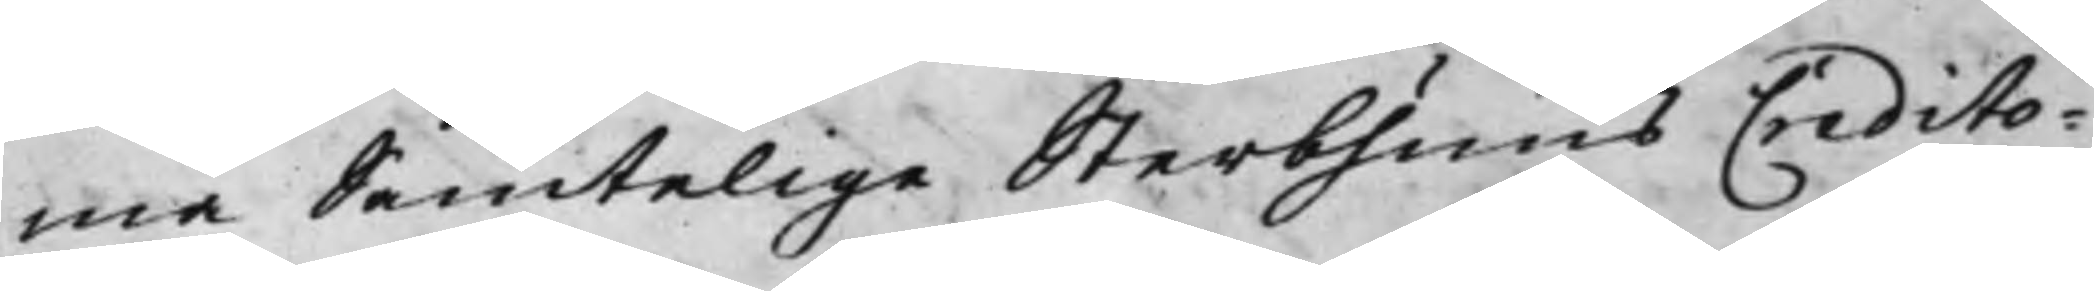ma Samtelige Sterbhuus Credito¬
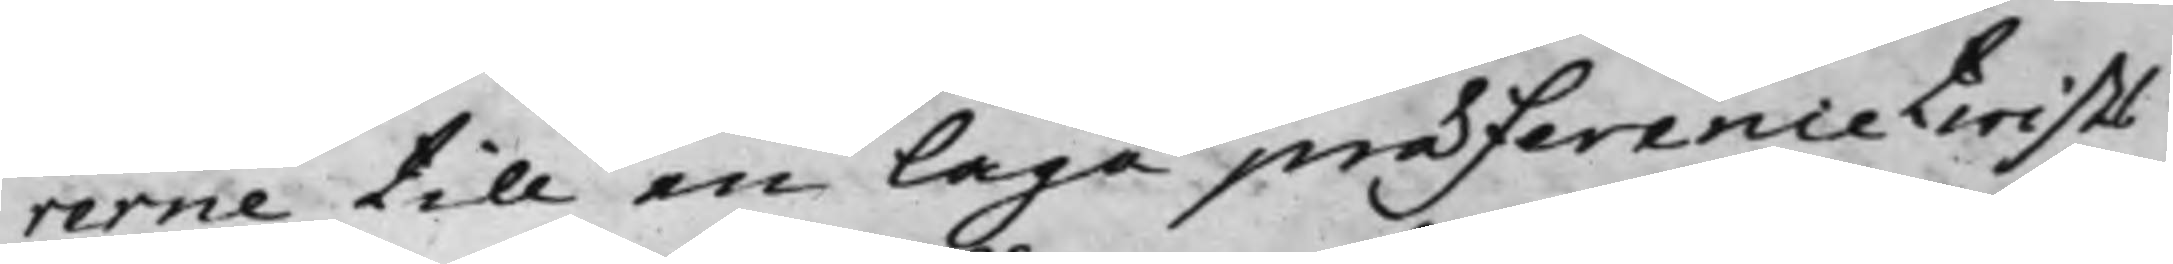rerne till en Laga præferencetwists
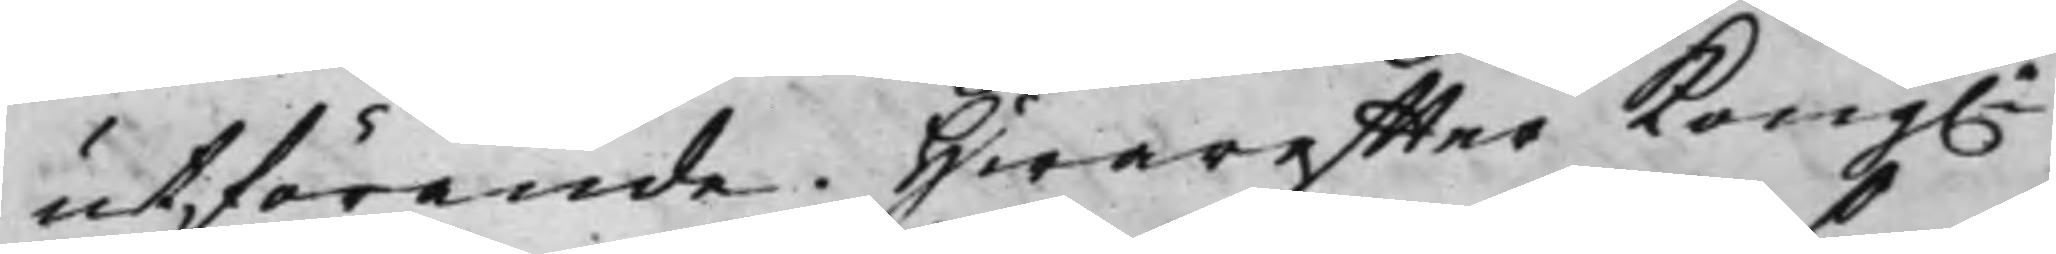utförande. Hwareffter Kong.e
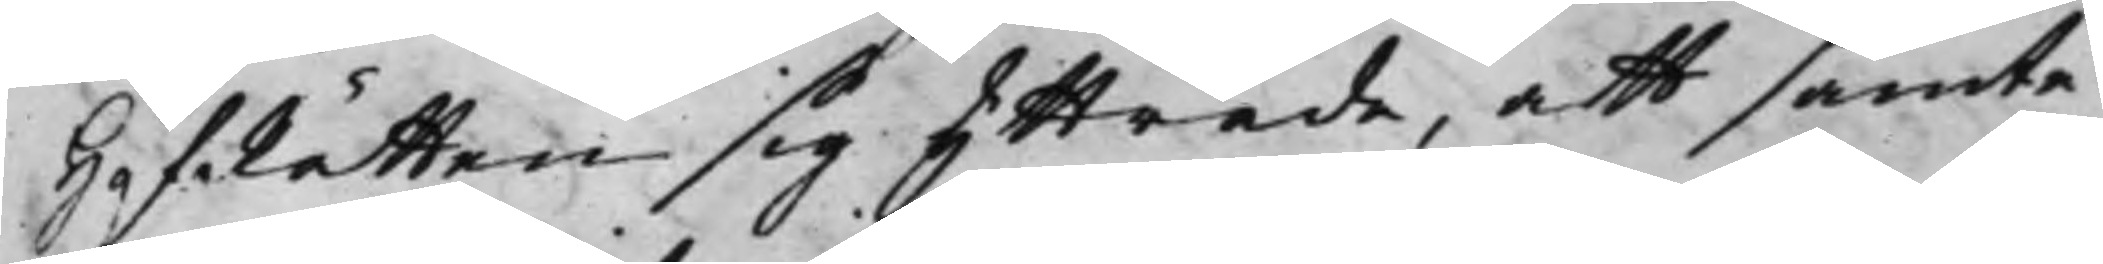HofRätten sig yttrade, att samte¬
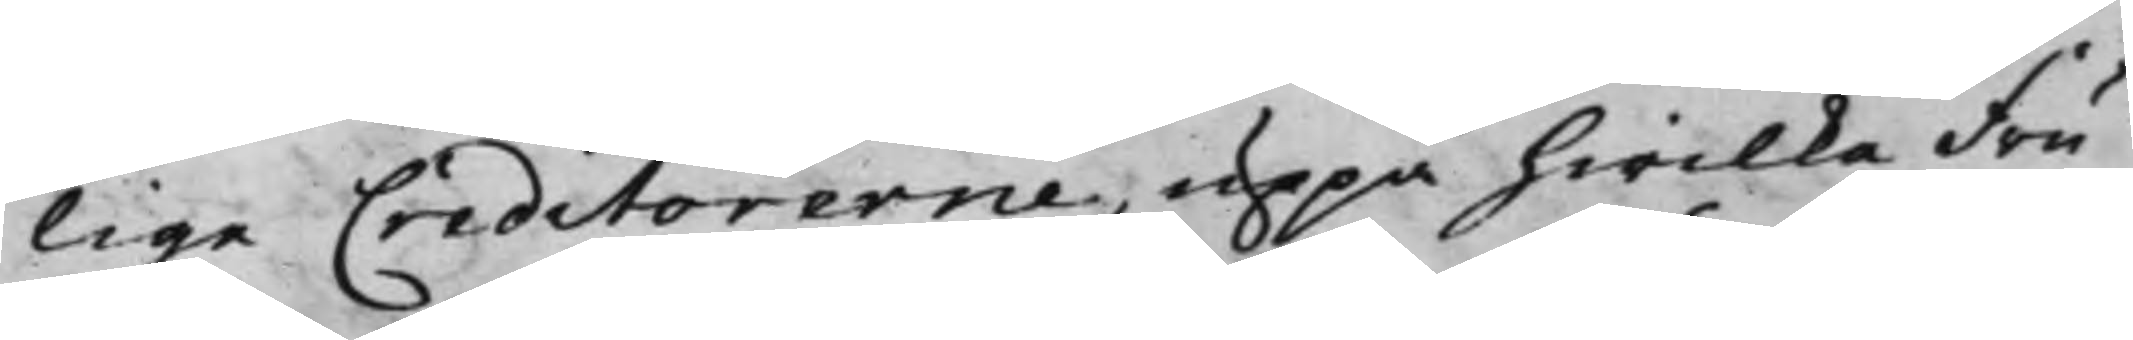lige Creditorerne, uppå hwilka Fru
